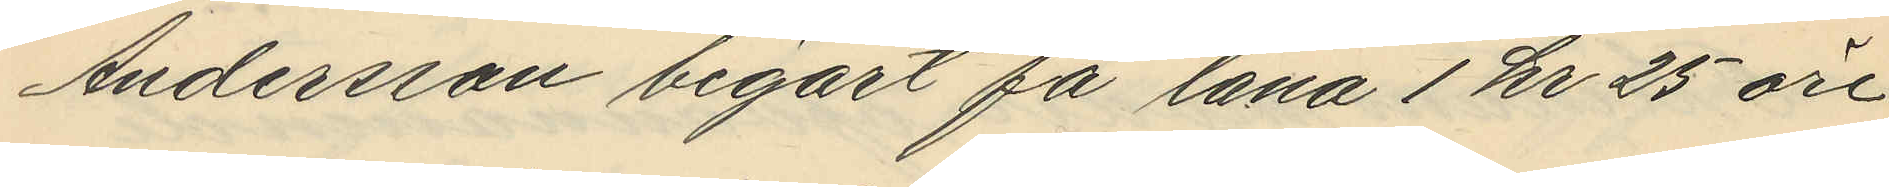Andersson begärt få låna 1 kr 25 öre
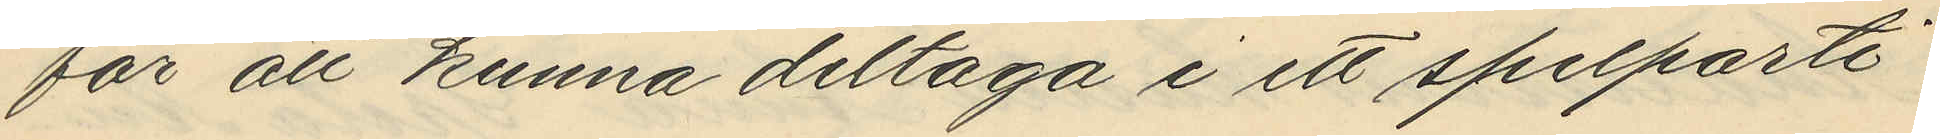för att kunna deltaga i ett spelparti,
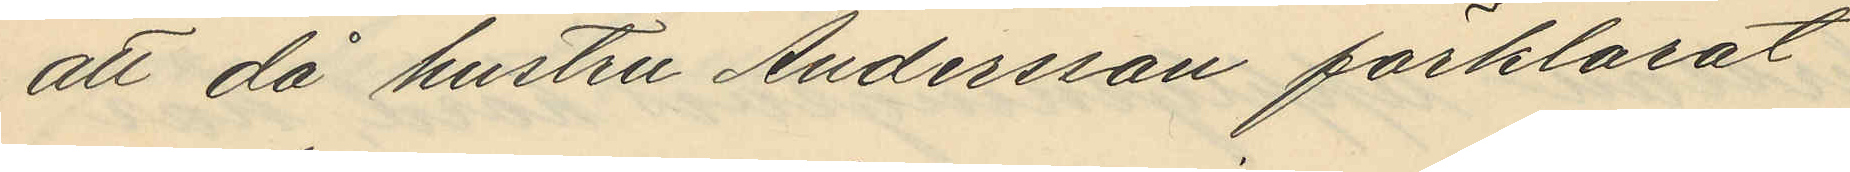att då hustru Andersson förklarat
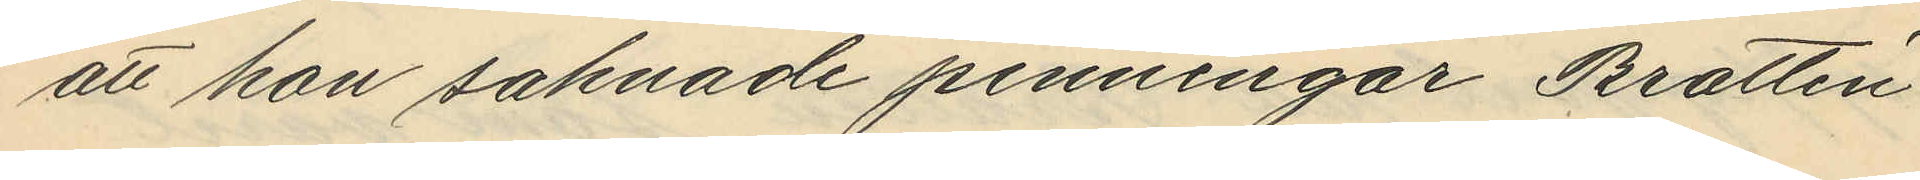att hon saknade penningar Brattén
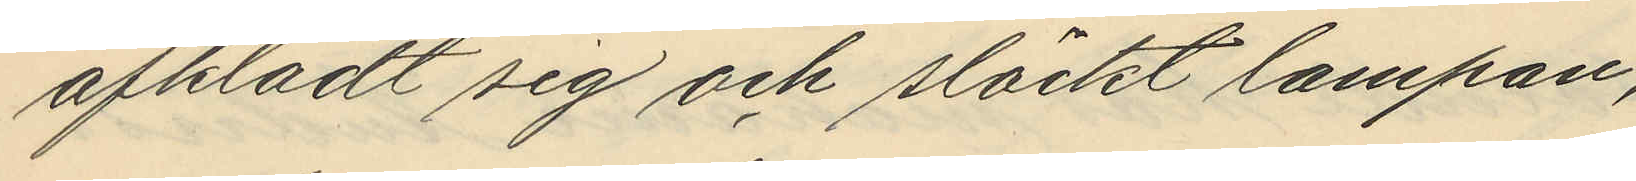afklädt sig och släckt lampan,
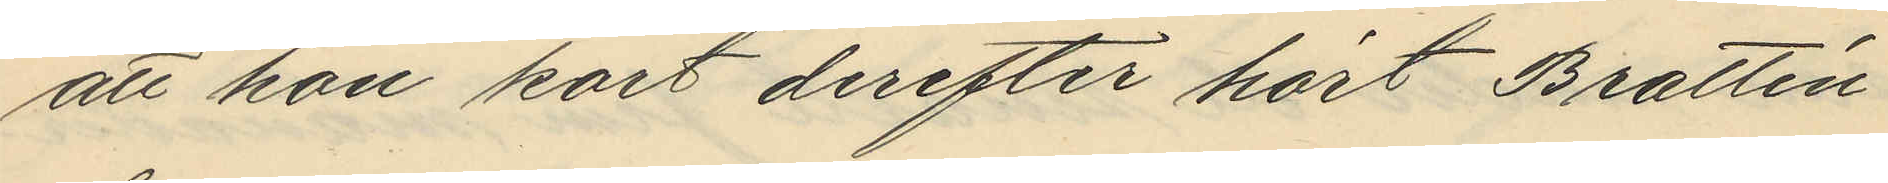att hon kort derefter hört Brattén
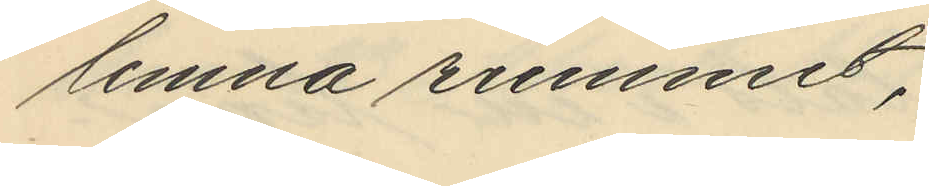lemna rummet,
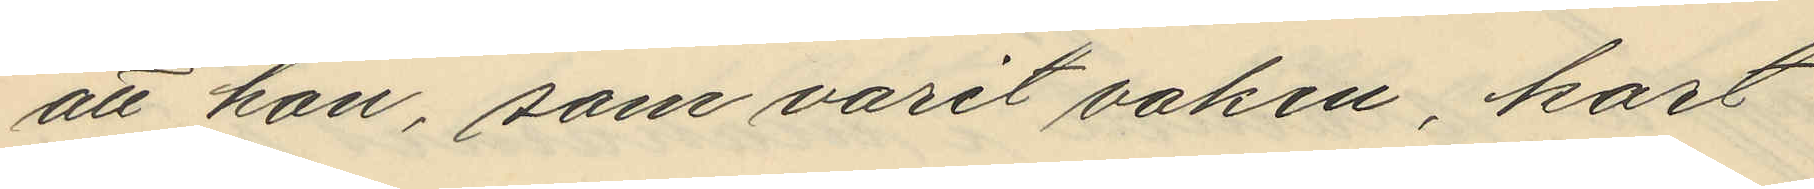att hon, som varit vaken, kort
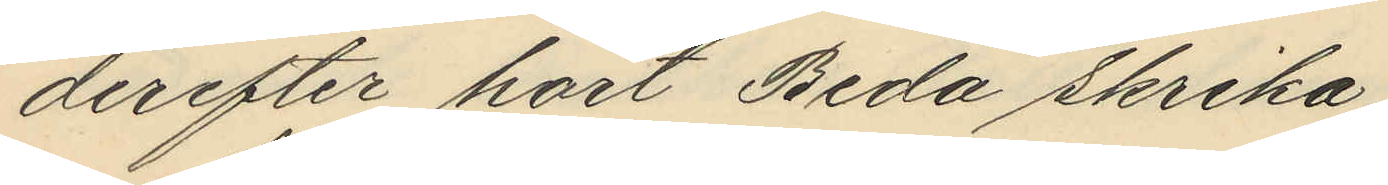derefter hört Beda skrika
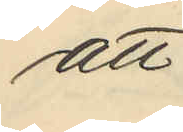att
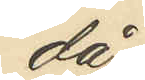då
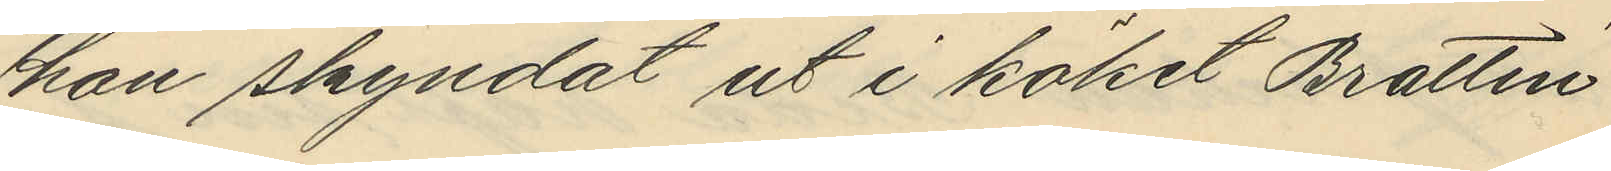hon skyndat ut i köket Brattén
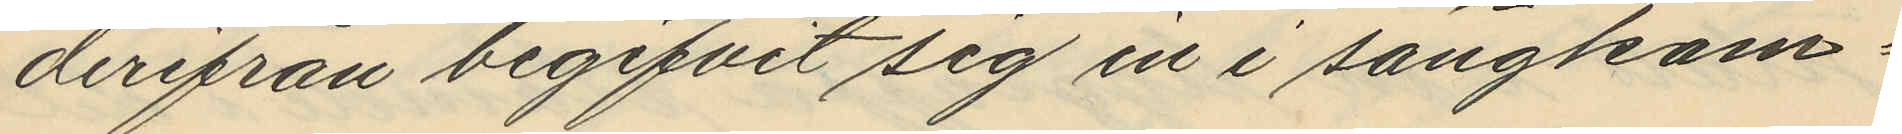derifrån begifvit sig in i sängkam¬
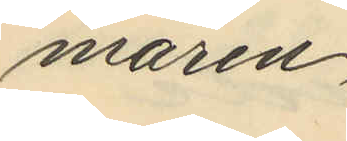maren,
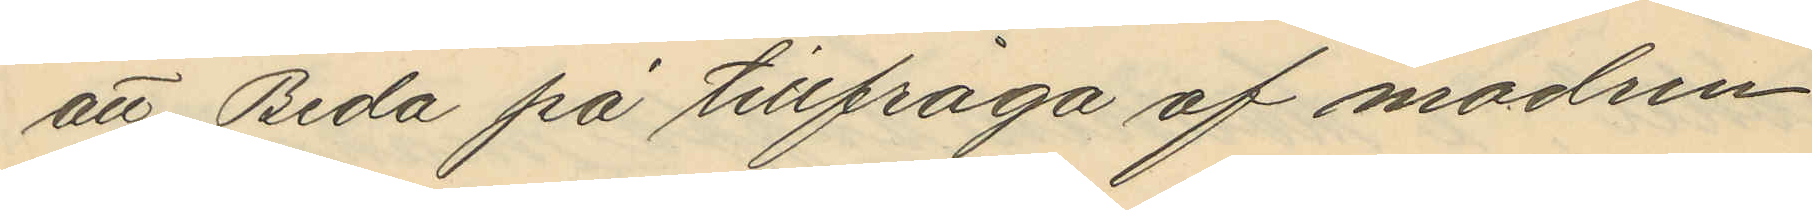att Beda på tillfråga af modren
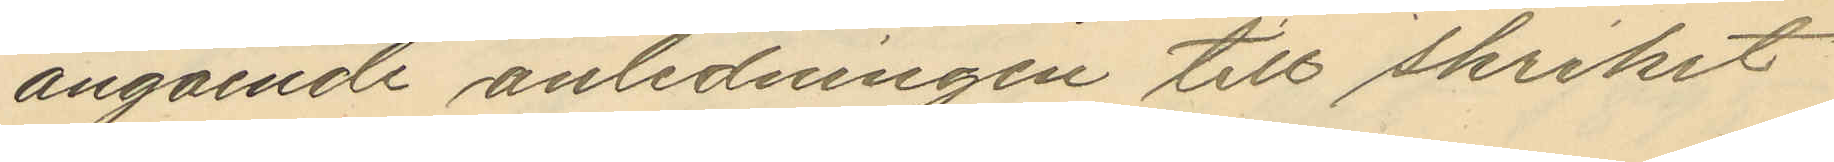angående anledningen till skriket
